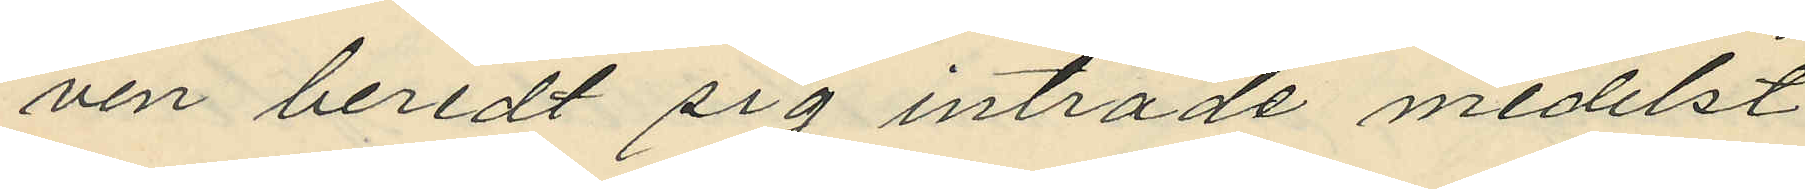ven beredt sig inträde medelst
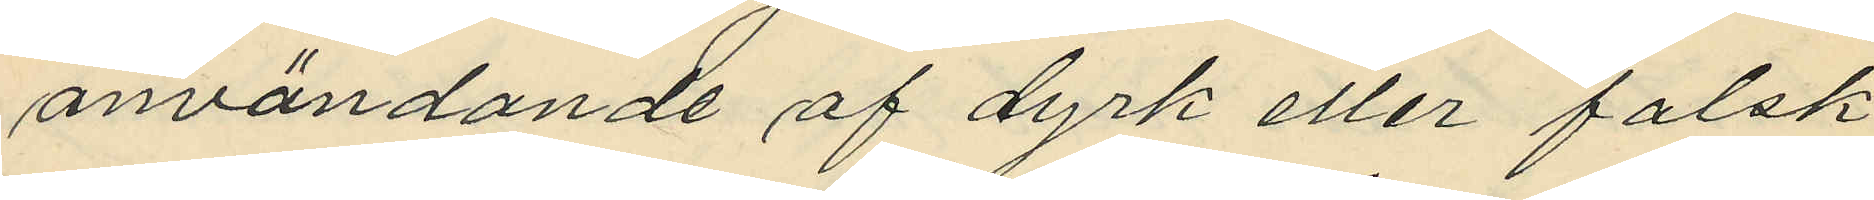användande af dyrk eller falsk
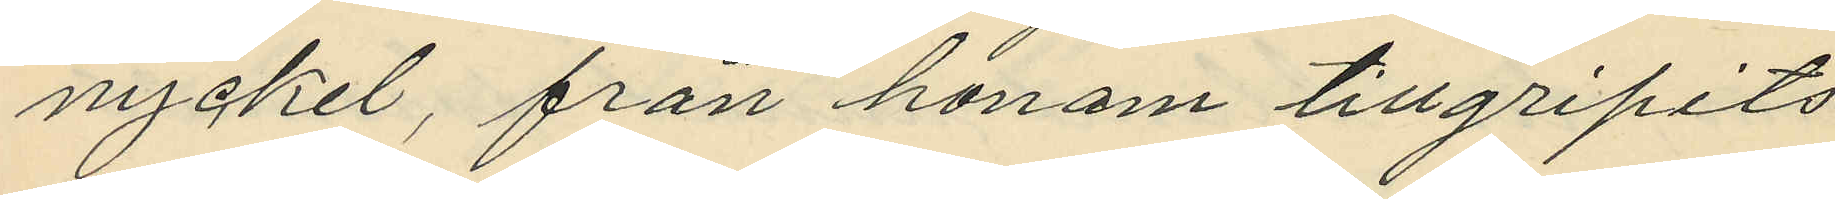nyckel, från honom tillgripits
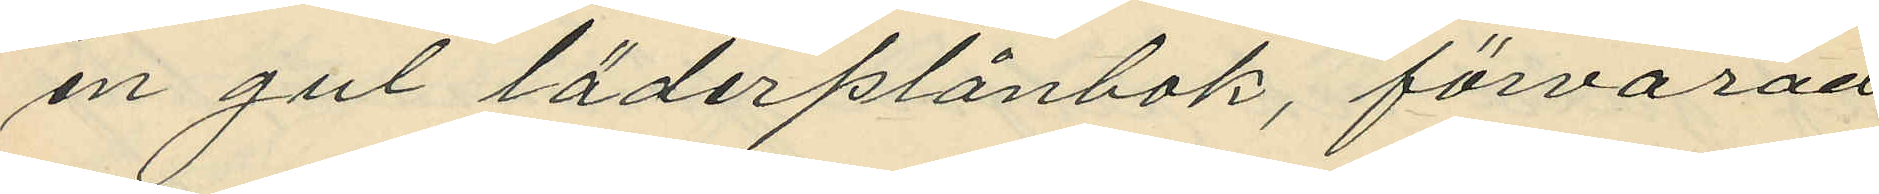en gul läderplånbok, förvarad
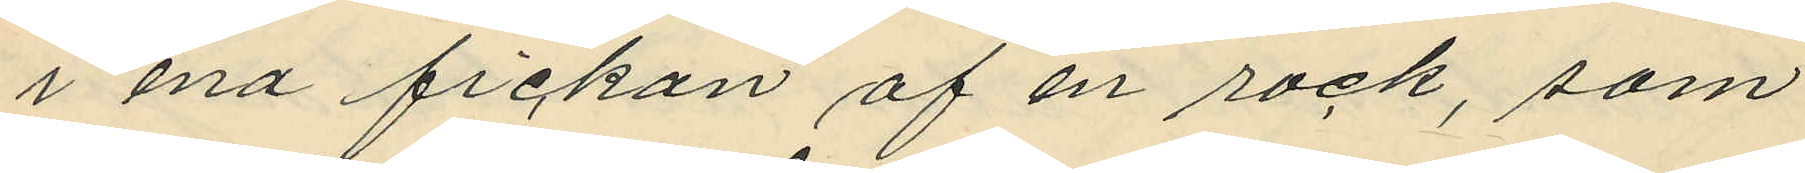i ena fickan af en rock, som
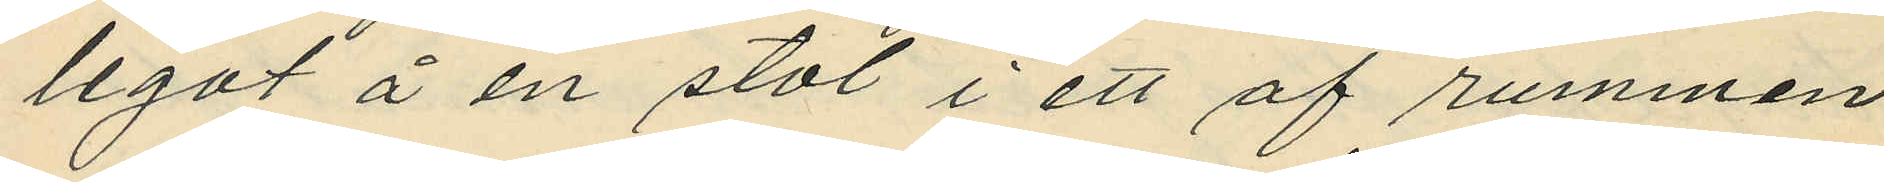legat å en stol i ett af rummen
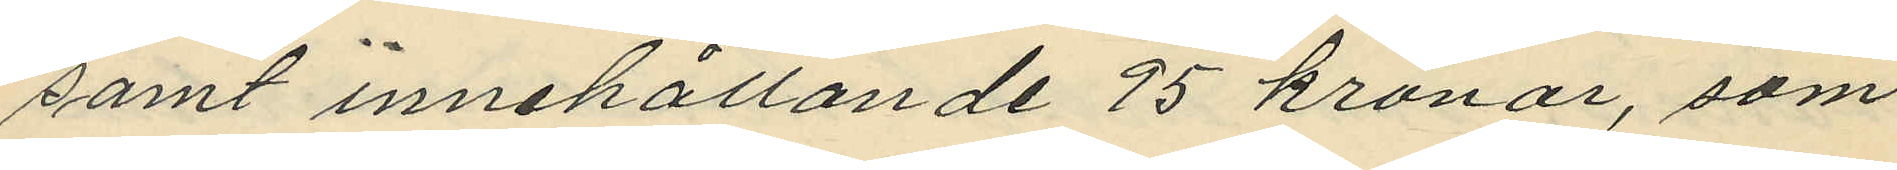samt innehållande 95 kronor, som
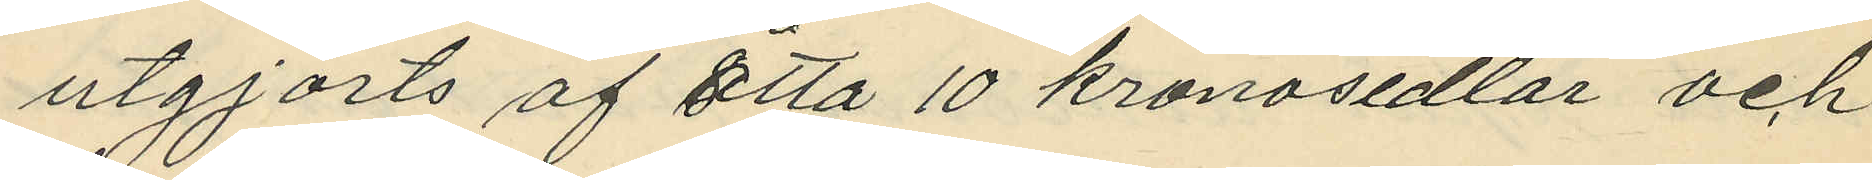utgjorts af åtta 10 kronosedlar och
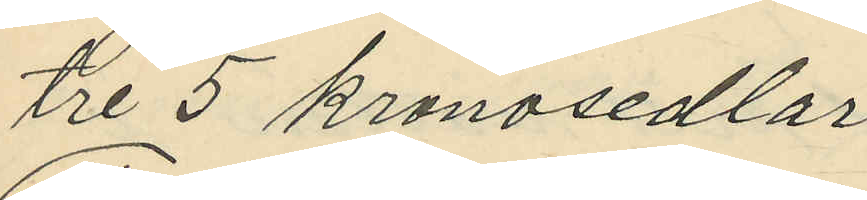tre 5 kronosedlar
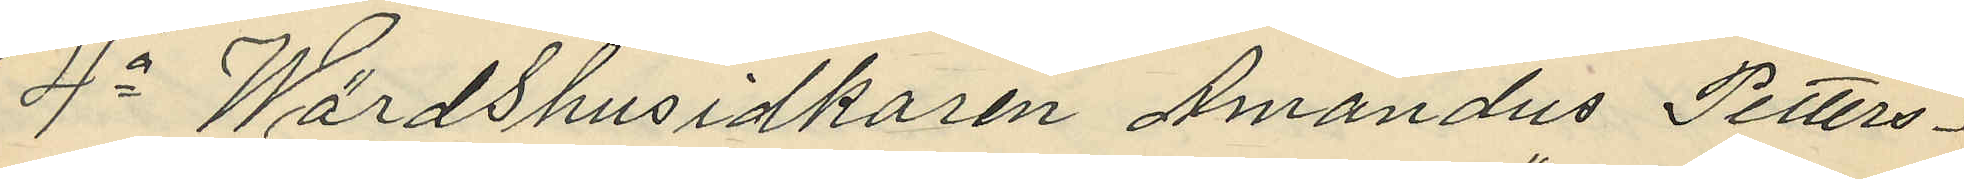4o Wärdshusidkaren Amandus Petters¬
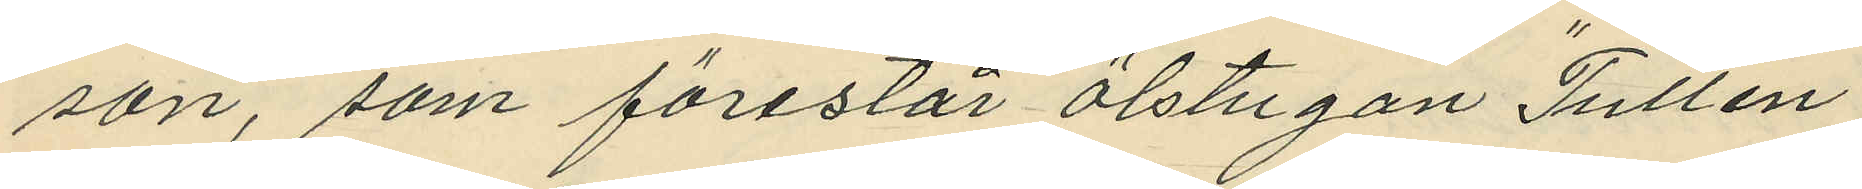son, som förestår ölstugan "Tullen"
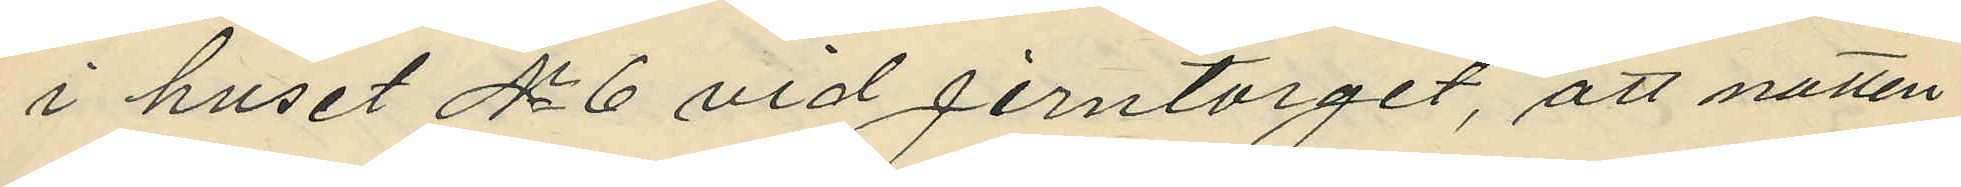i huset No 6 vid Jerntorget, att natten
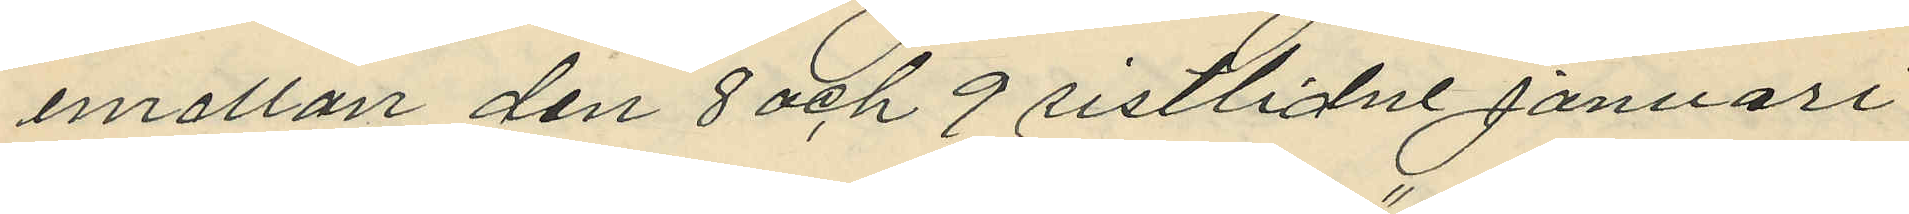mellan den 8 och 9 sistlidne januari
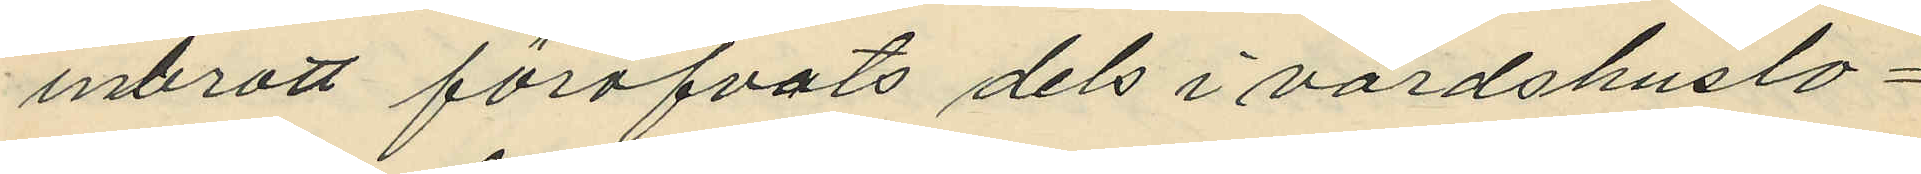inbrott föröfvats dels i värdshuslo¬
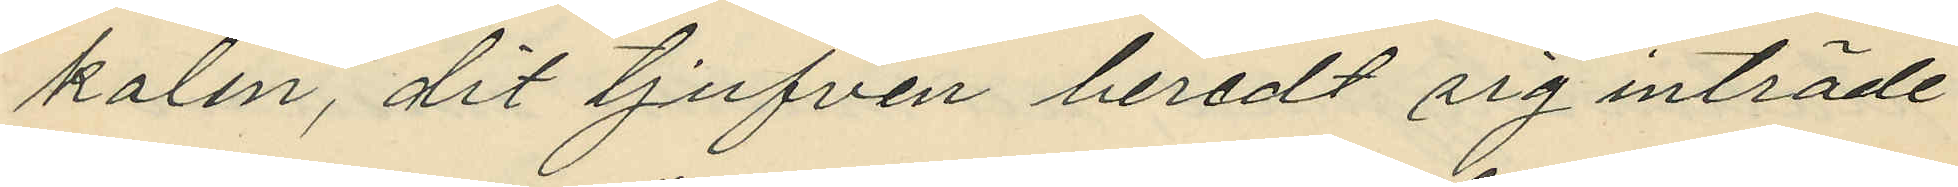kalen, dit tjufven beredt sig inträde
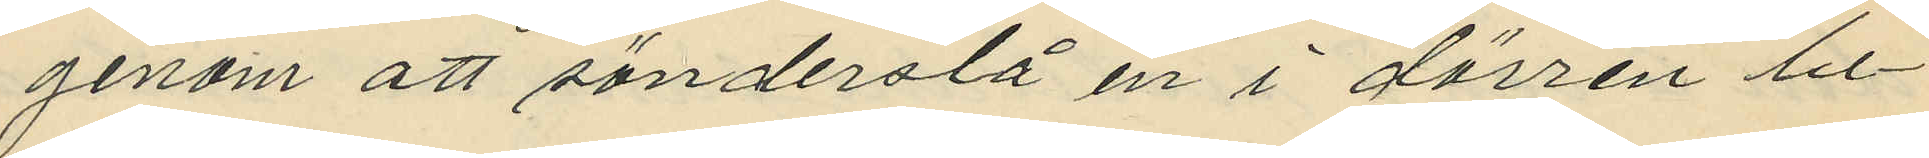genom att sönderslå en i dörren be¬
